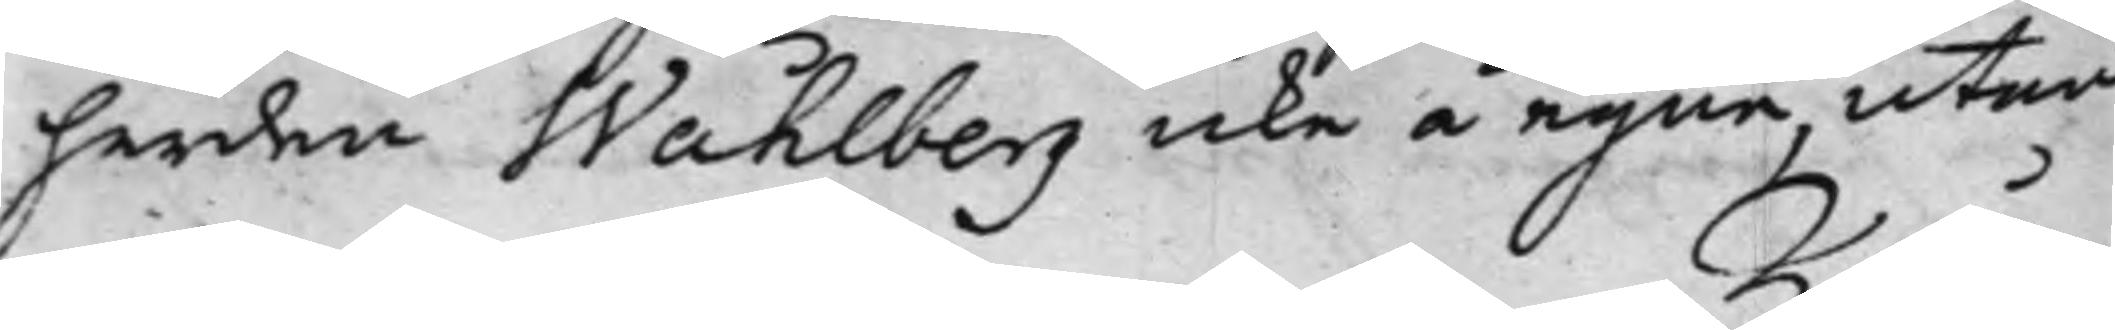herden Wåhlberg icke å egne, utan
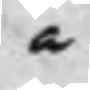å
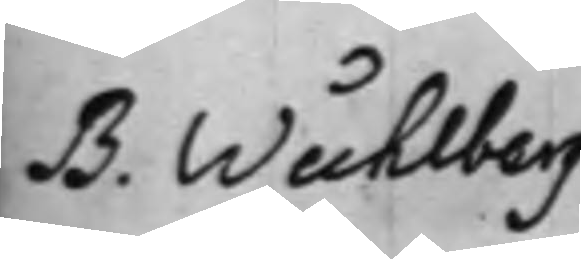B. Wåhlberg
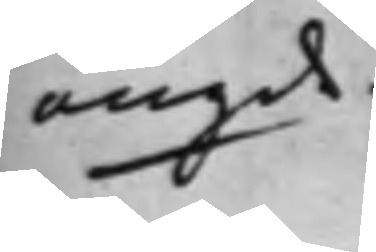angde.
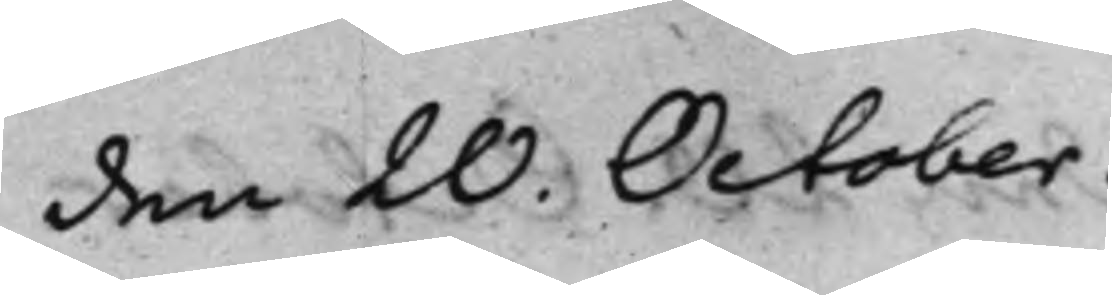den 20. October.
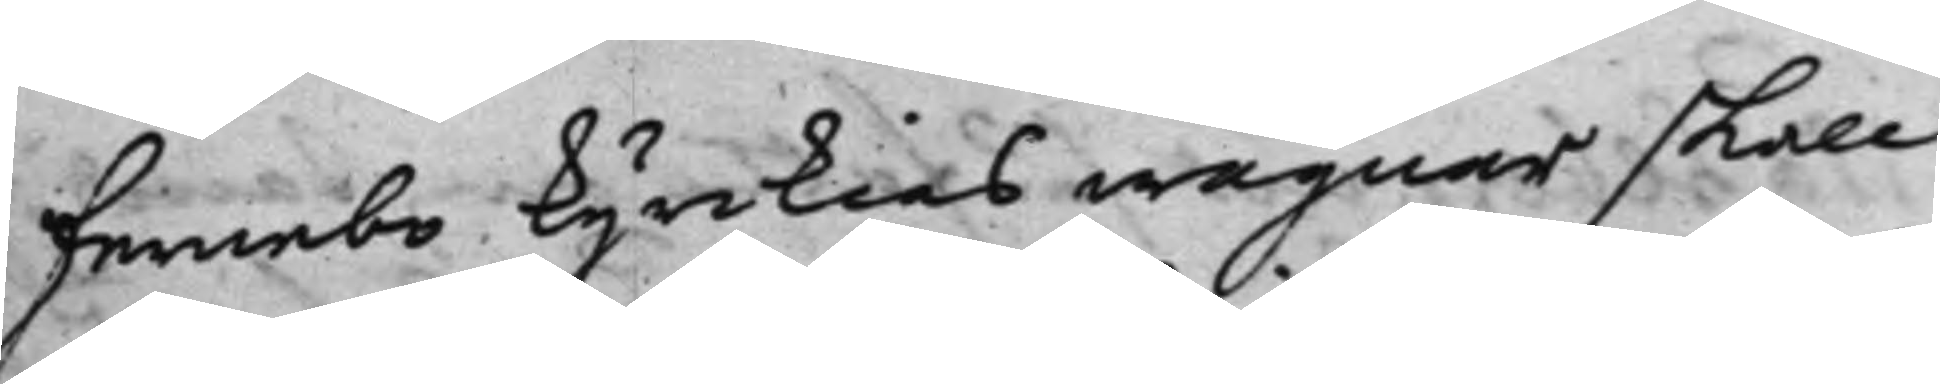å Fernebo Kyrckias wägnar skall
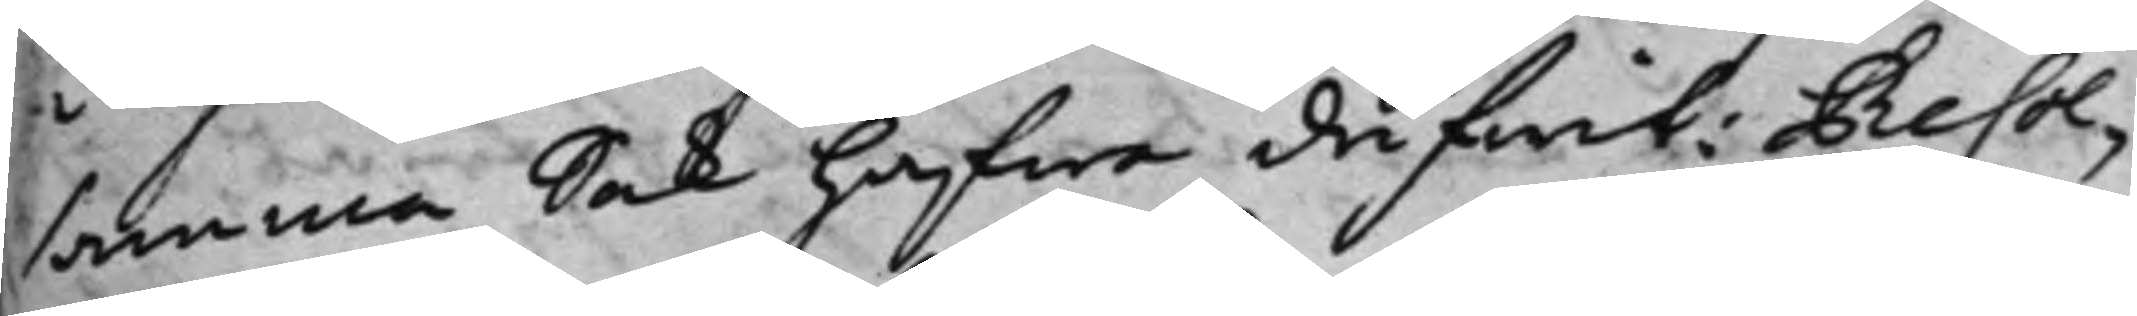samma Sak hafwa drifwit: Resol¬
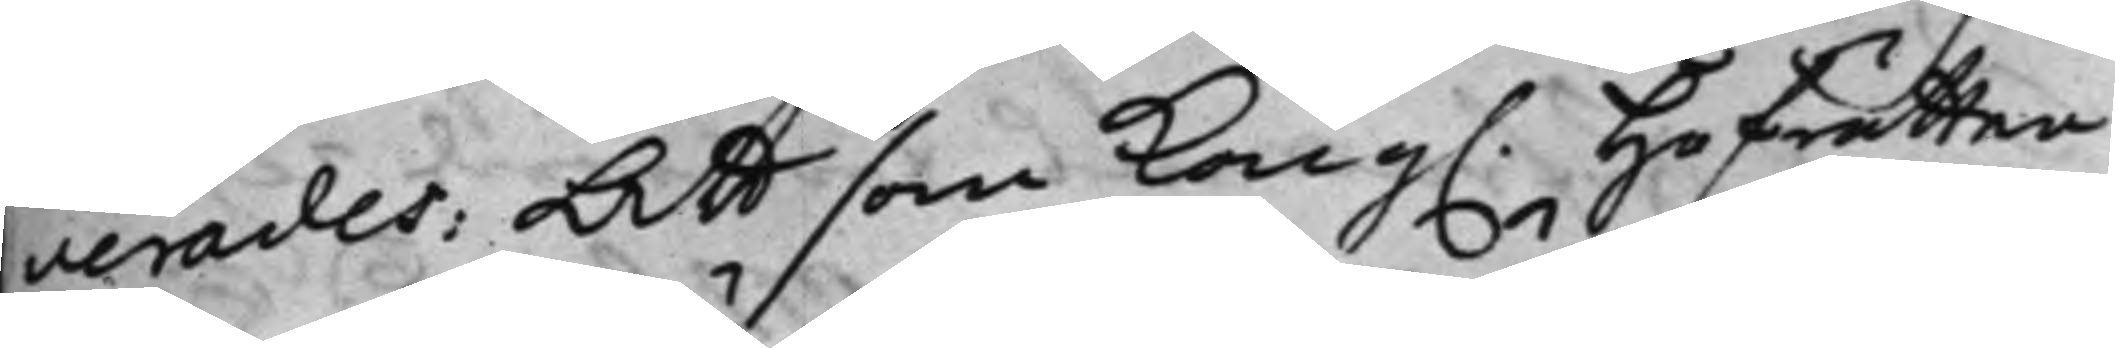verades: Att som Kong. Hofrätten
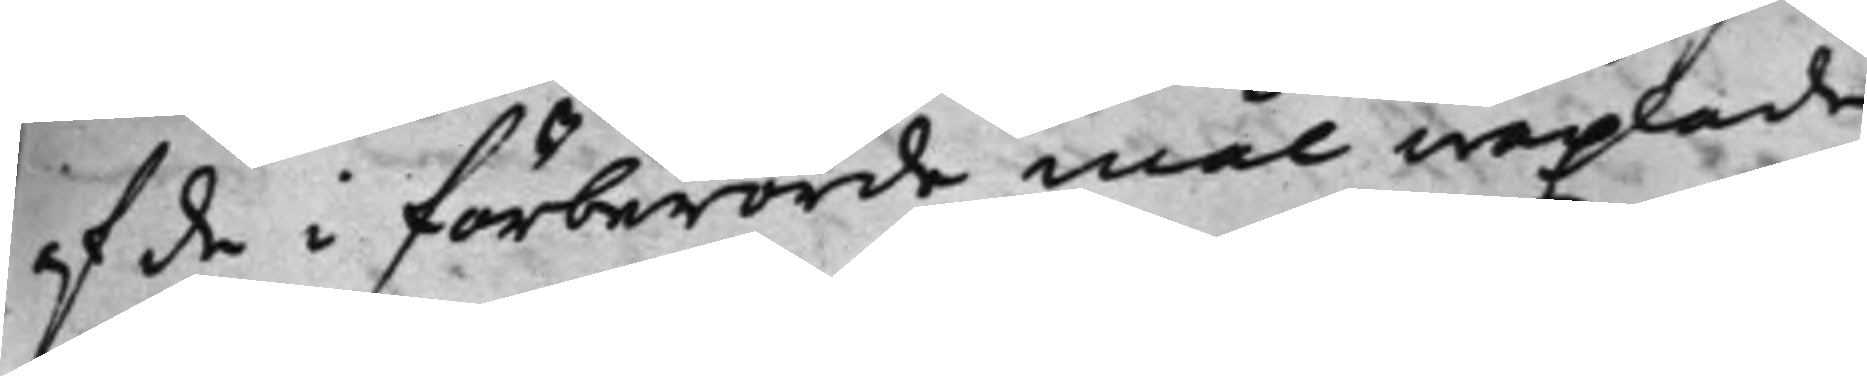af de i förberörde mål wäxlade
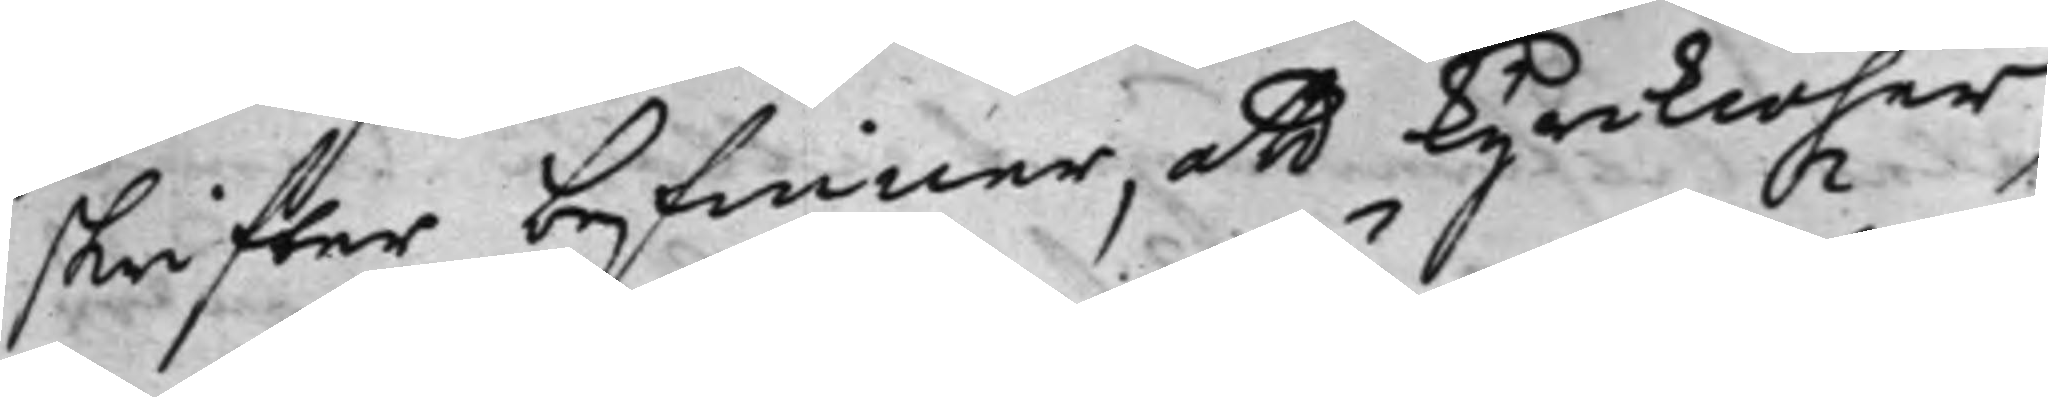skrifter befinner, att Kyrkioher¬
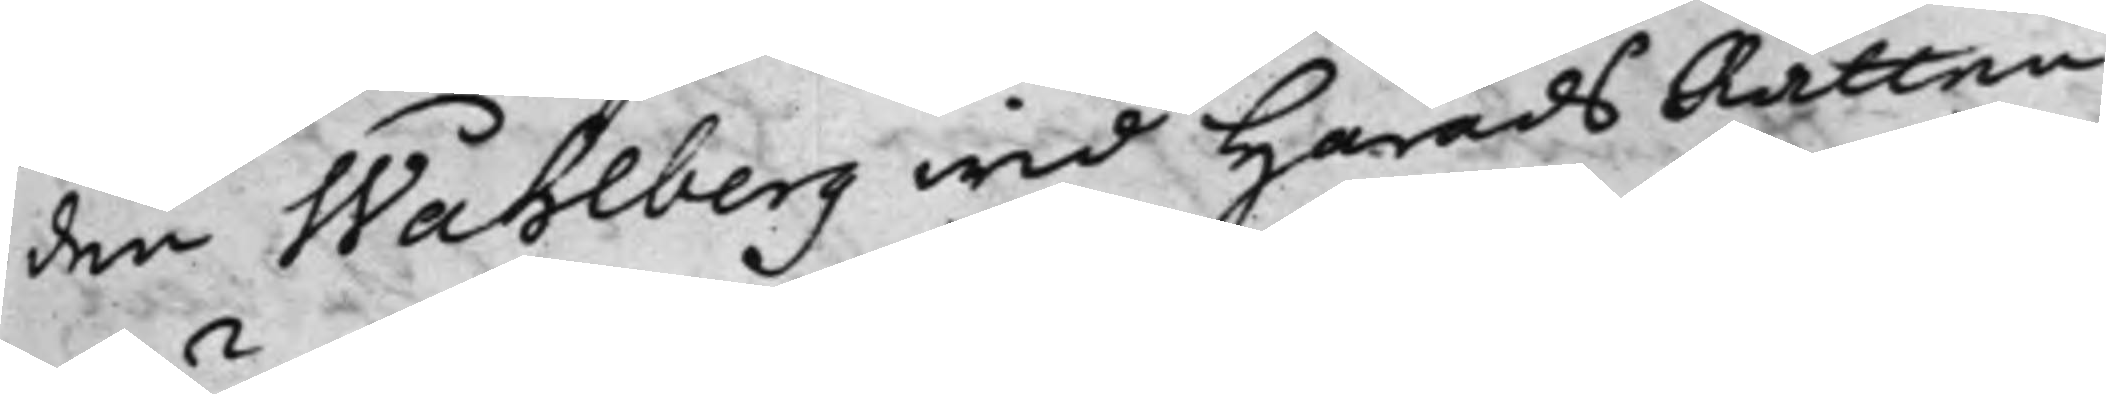den Wåhlberg wid HäradsRätten
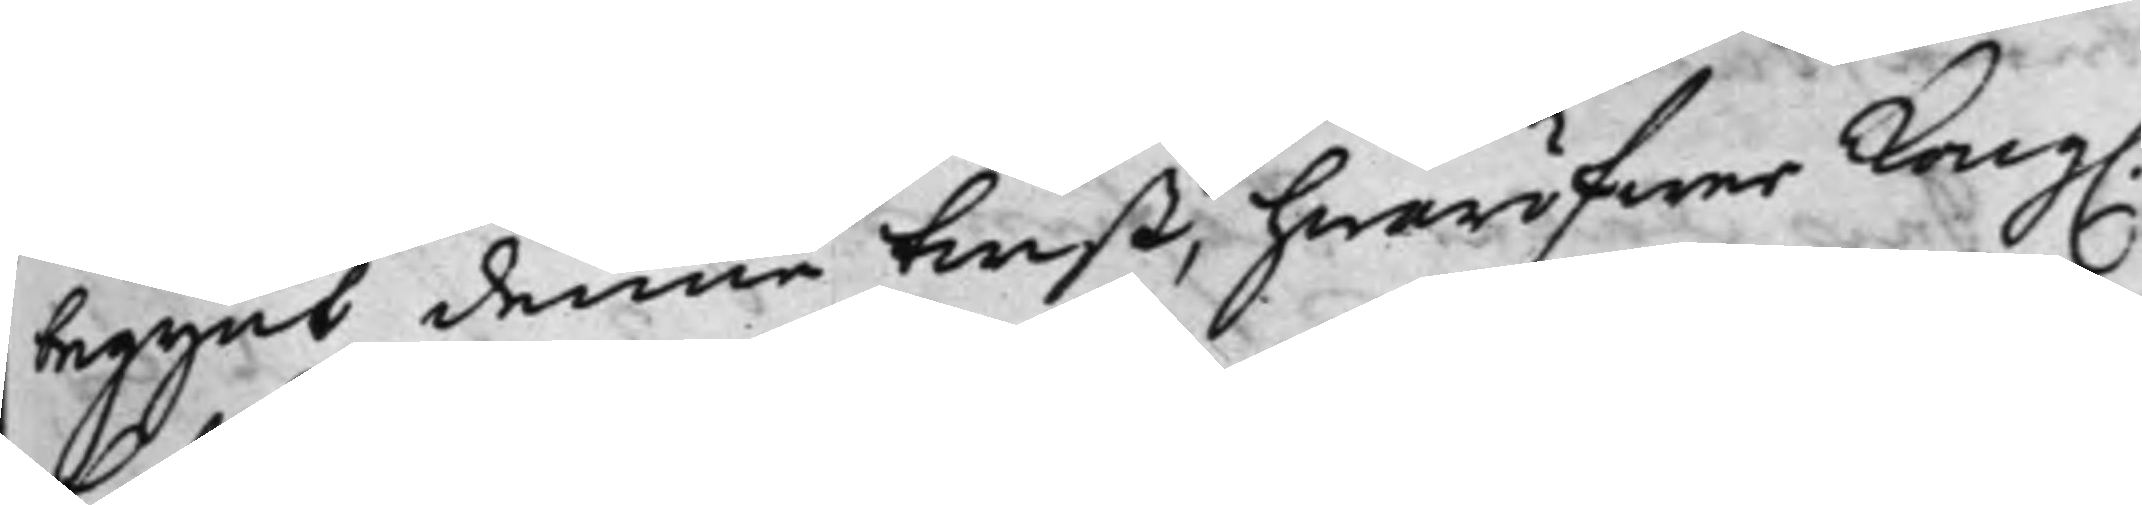begynt denne twist, hwaröfwer Kong.
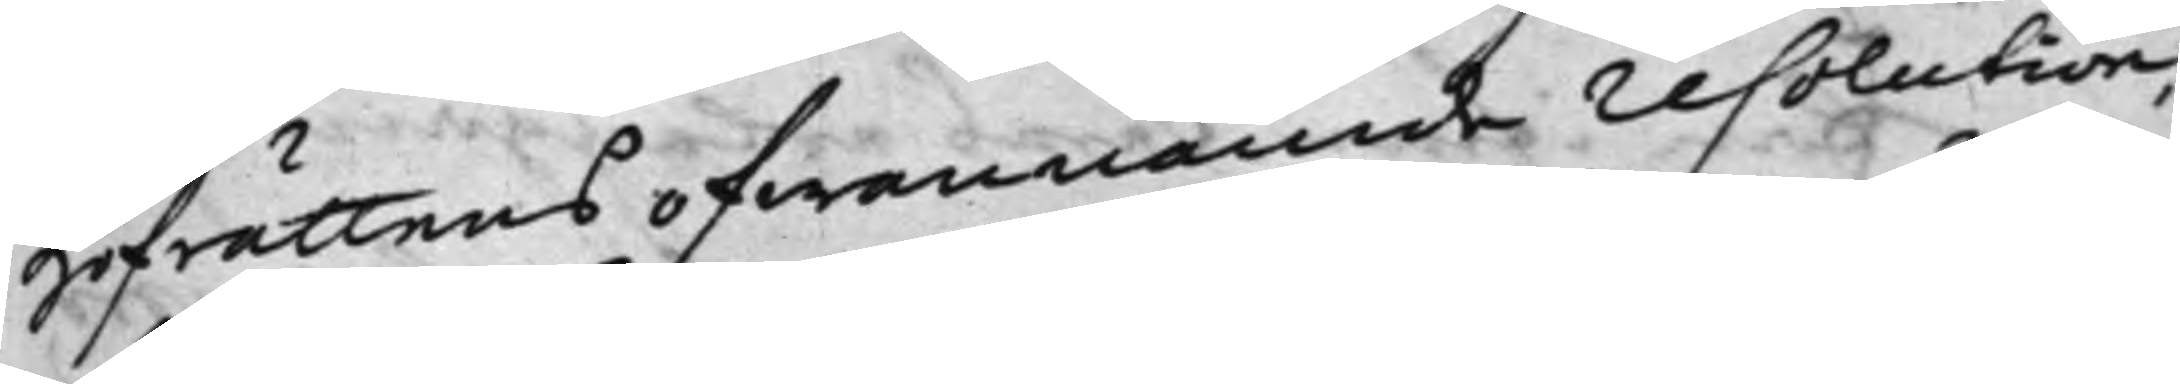Hofrättens ofwannämde resolution,
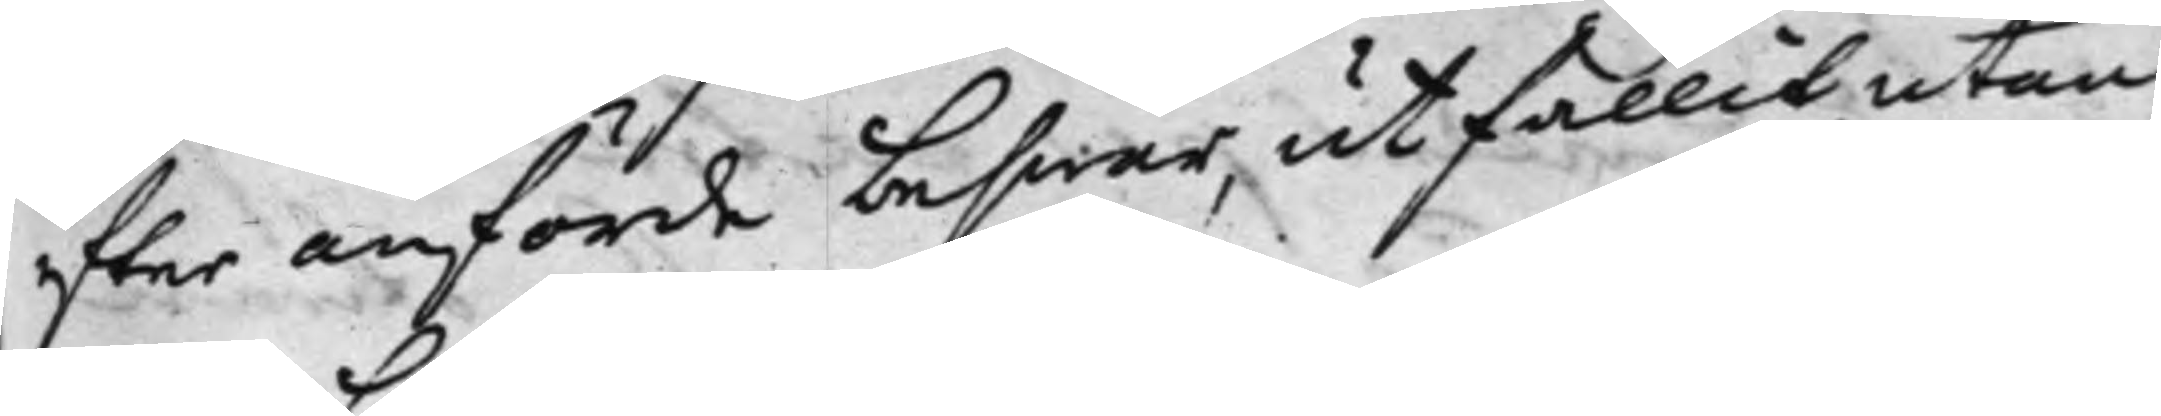effter anförde beswär, utfallit, utan
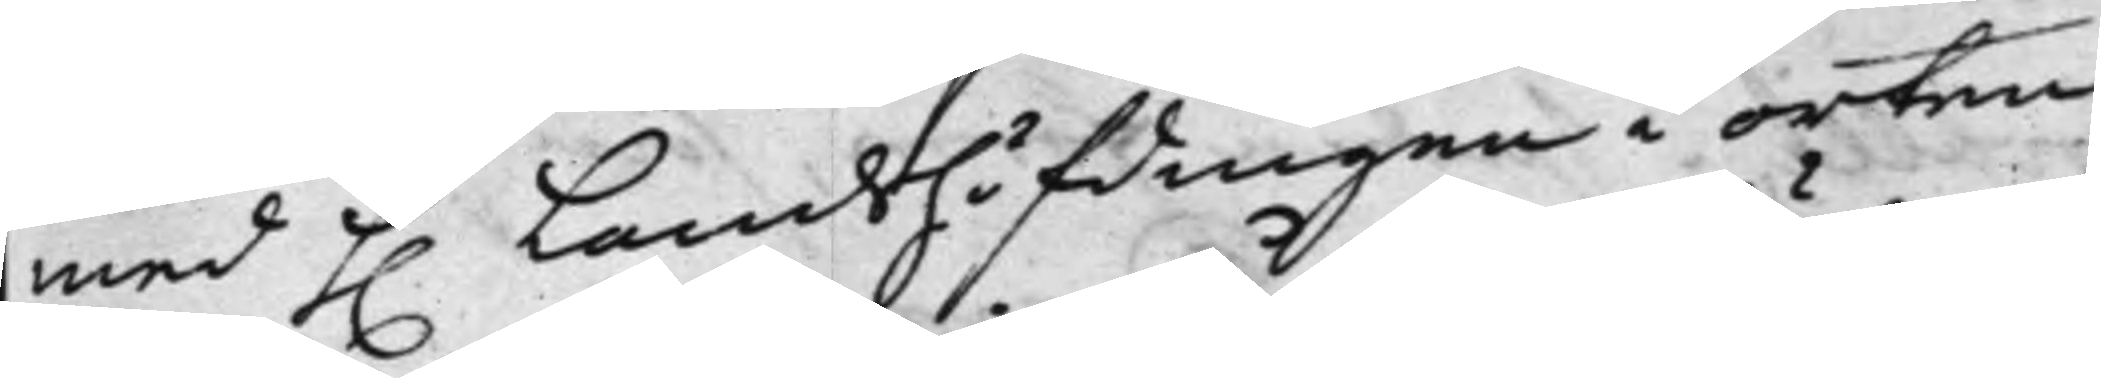med h. Landshöfdingen i orten
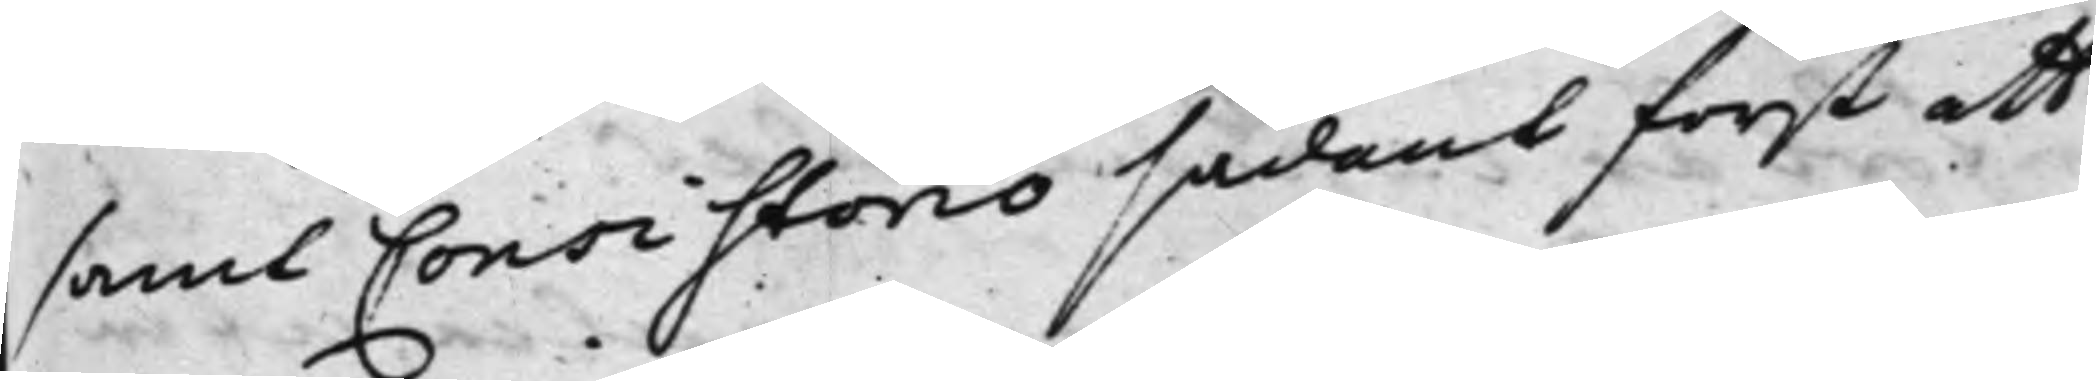samt Consistorio sådant först att
